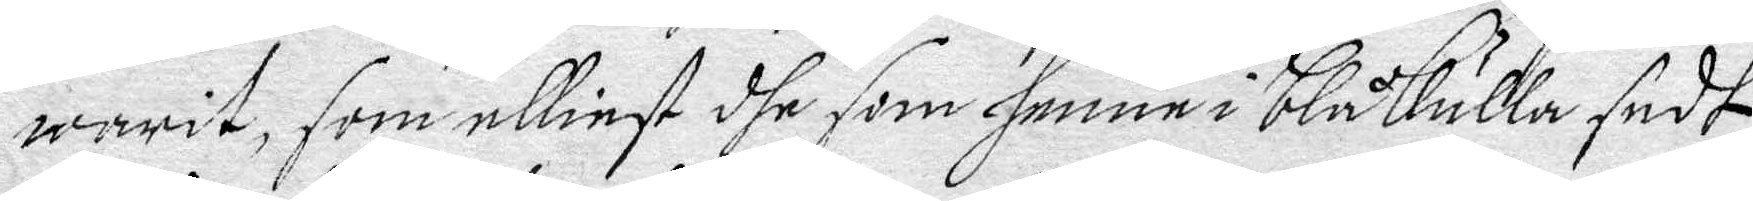warit, som elliest dhe som henne i blåkulla sedt
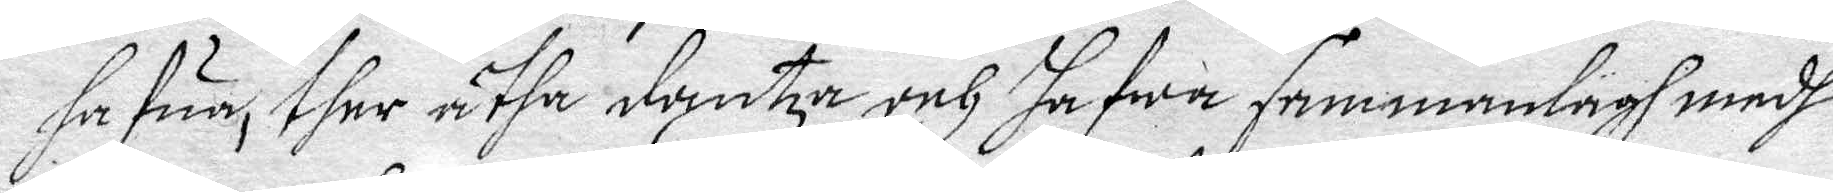hafua, ther åtha dantza och hafwa sammanlagh medh
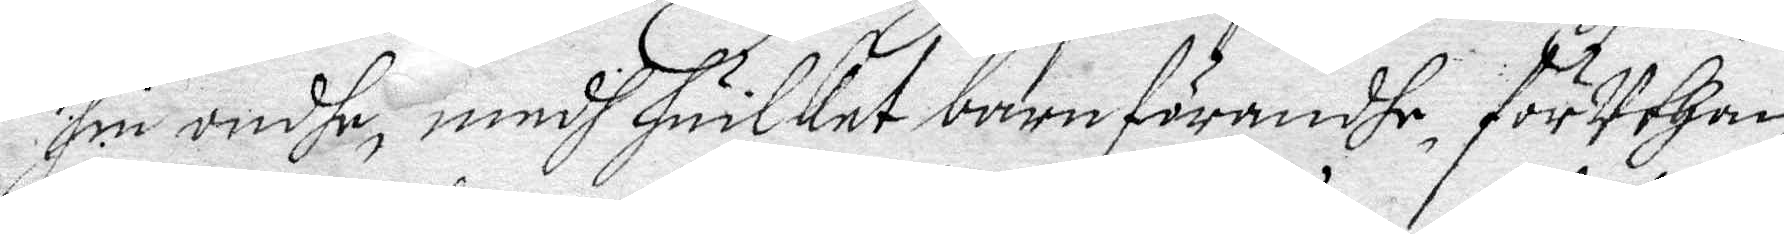sin ondhe, medh huilket barnförandhe, förUthan
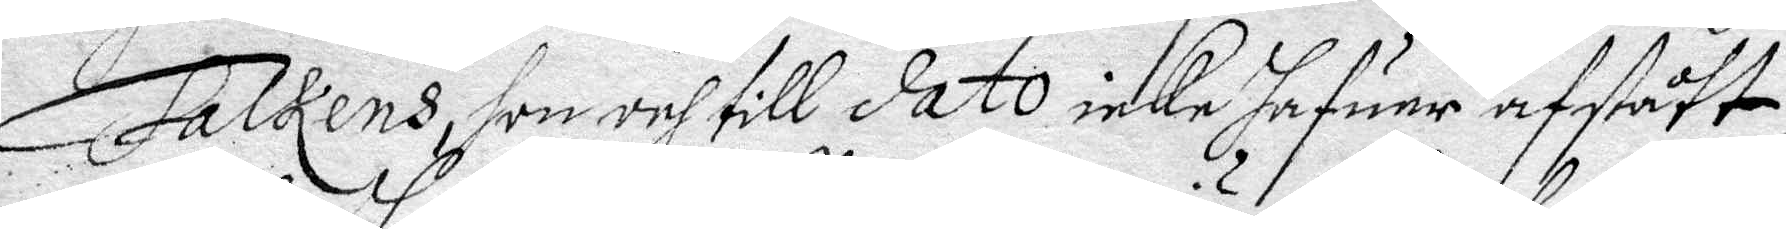Falkens, son och till dato icke hafuer afstått
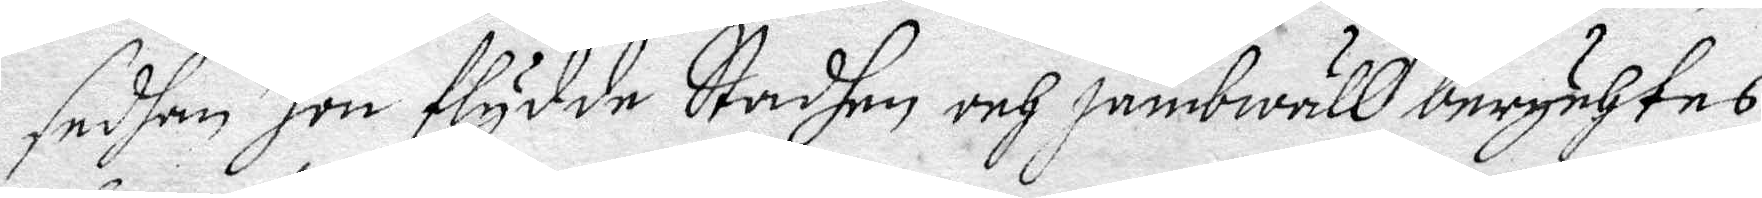sedan hon flydde Stadhen och jämbwäll berychtes
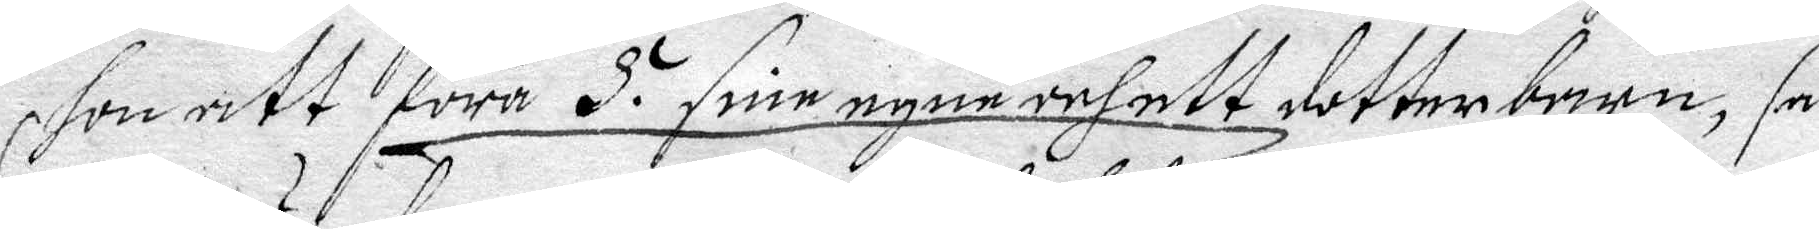hon att föra 5. sine egne och ett dotterbarn, så
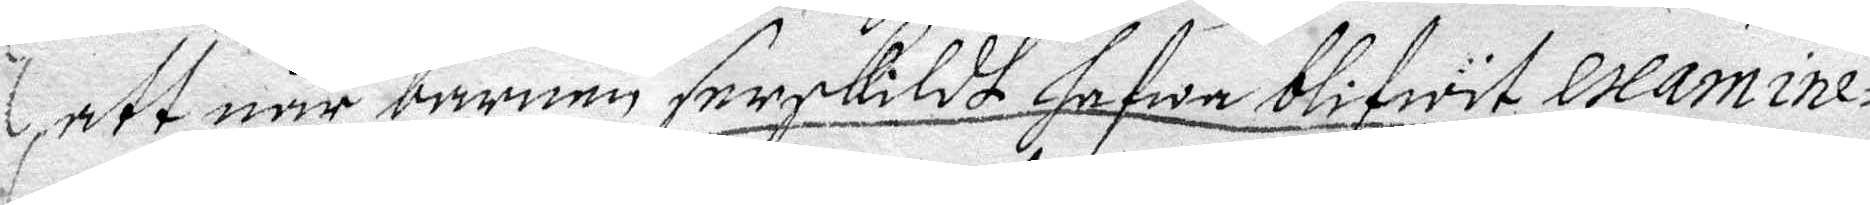att när barnen serskildt hafwa blivfwit examine¬
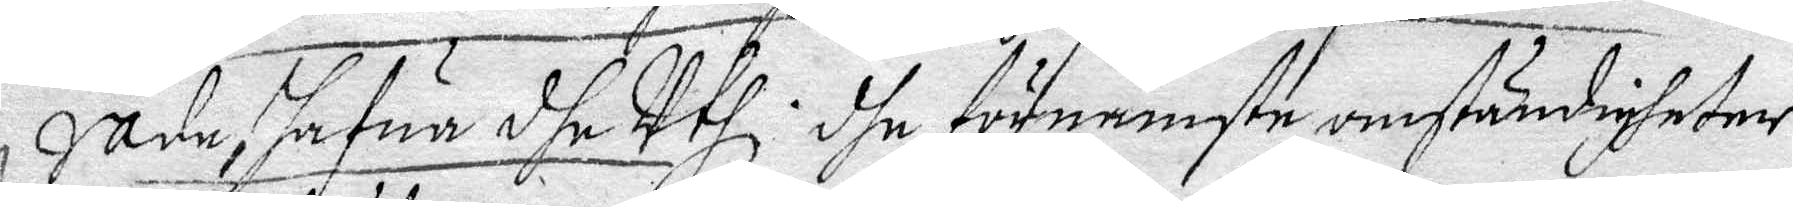rade, hafur dhe Uthl. dhe förnämste omständigheter
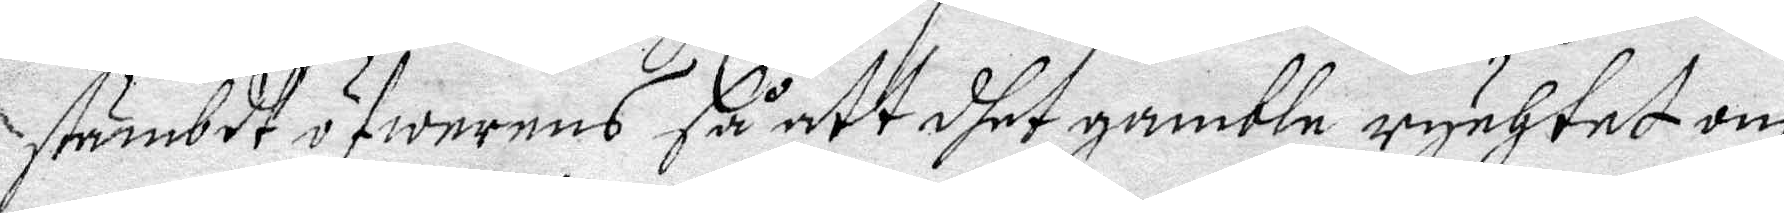stämbdt öfwerens så att dhet gamble rychtet om
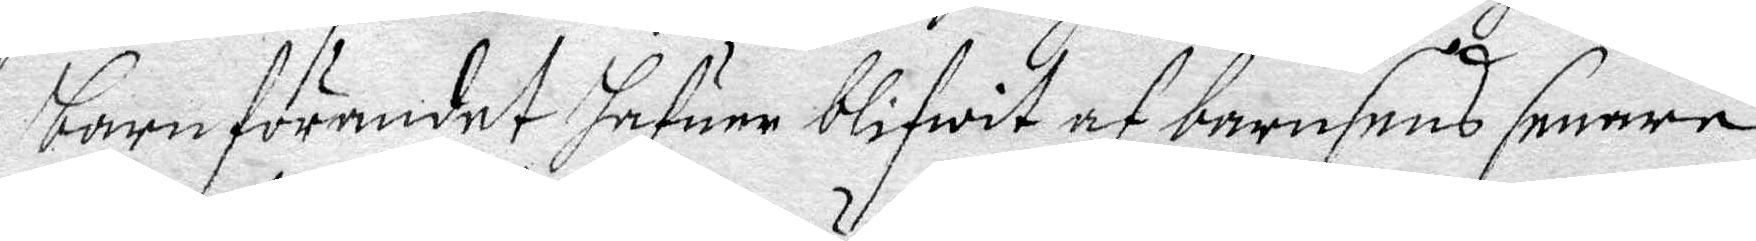barnförandet hafuer bliwit af barnens senare
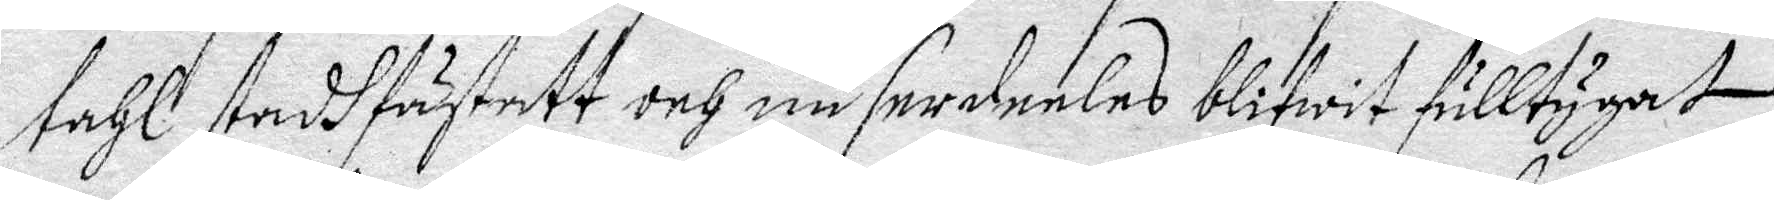tahl stadhfästatt och nu serdeles bliwit fulltygat,
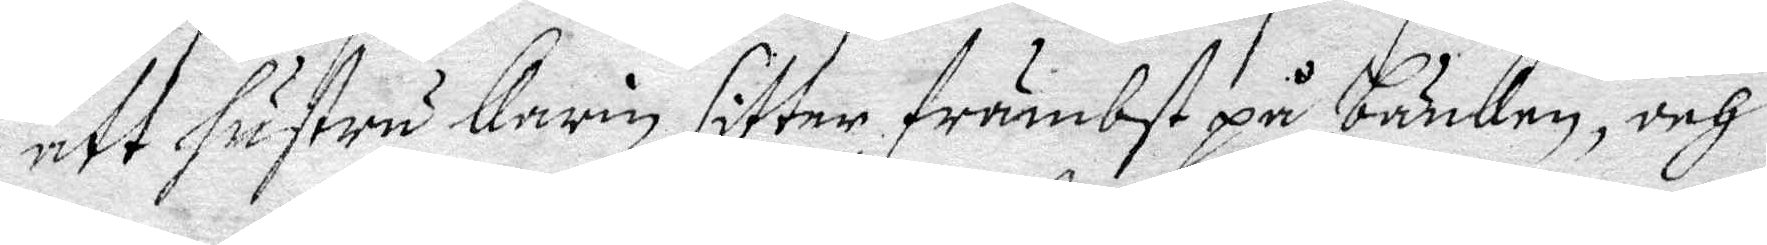att hustru Carik sitter främbst på bänken, och
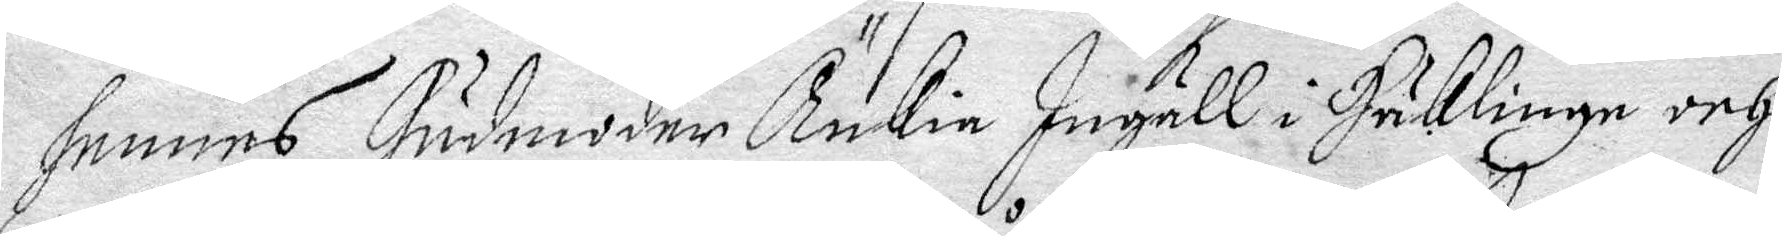hennes Gudmoder Änkia Ingäll i Hriklinge och
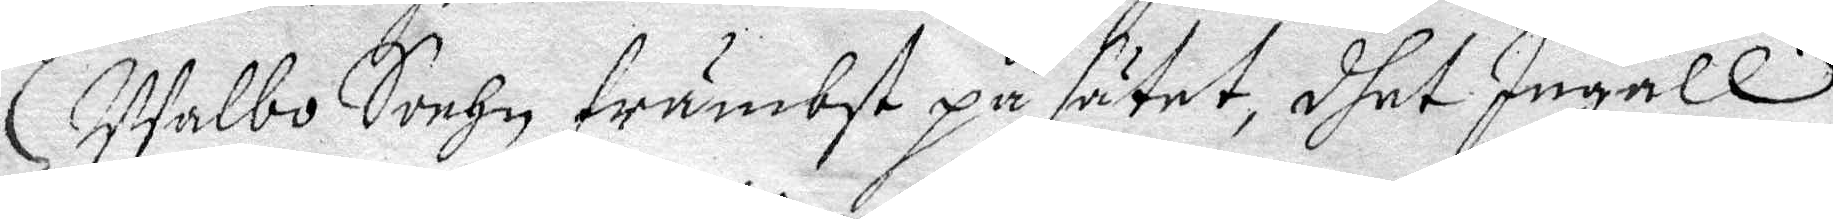Walbo Sochn främbst på sätet, dhet Ingäll
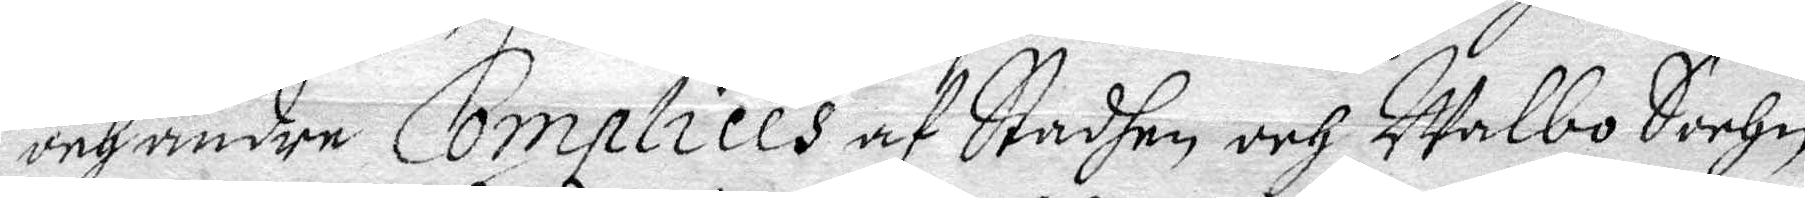och andre Complices af Stadhen och Walbo Sochn
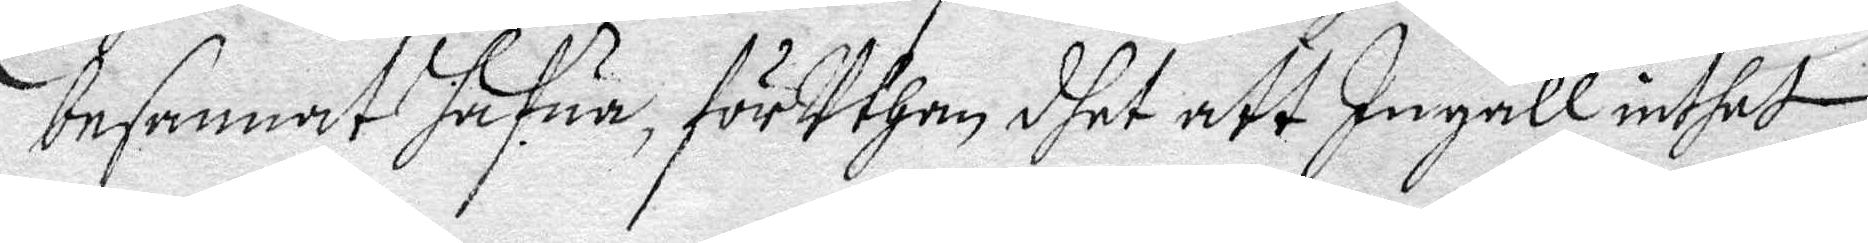besannat hafua, förUthan dhet att Ingäll inthet
